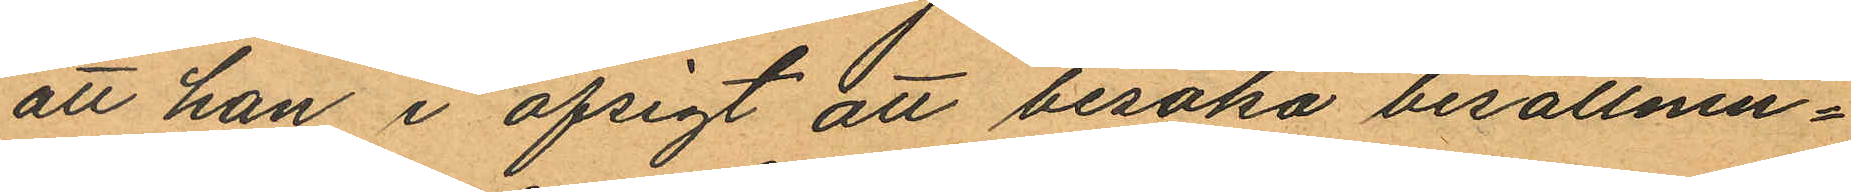att han i afsigt att besöka besättnin¬
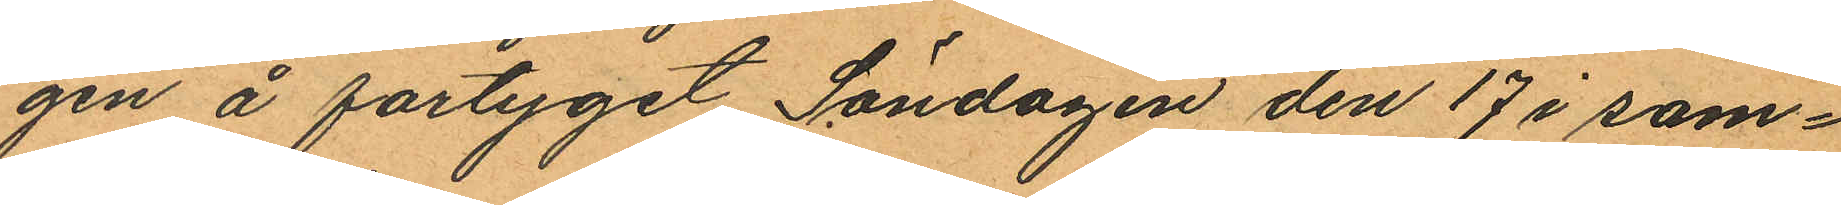gen å fartyget Söndagen den 17 i sam¬
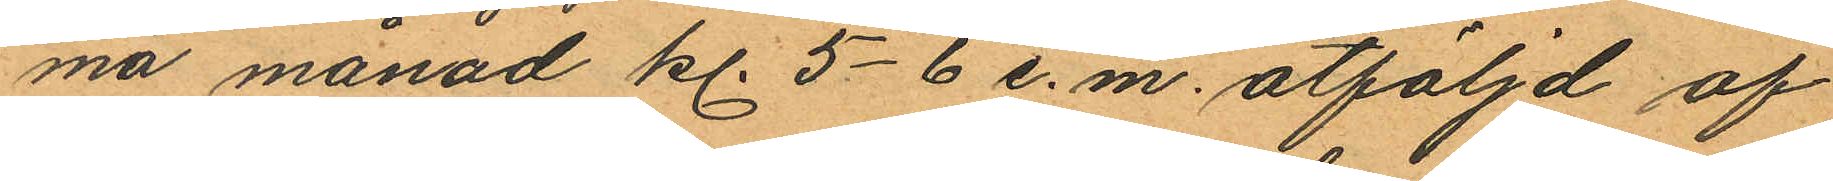ma månad kl. 5-6 e.m. åtföljd af
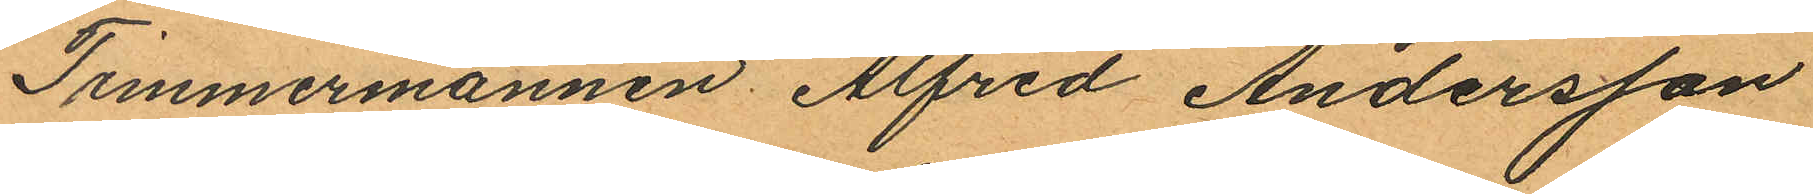Timmermannen Alfred Andersson
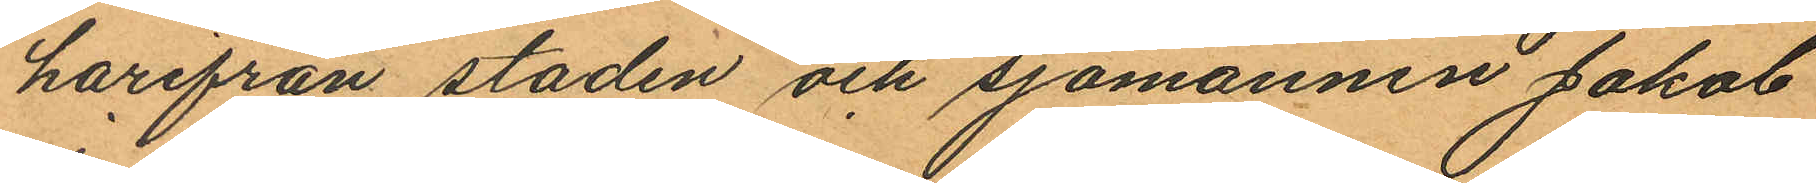härifrån staden och sjömannen Jakob
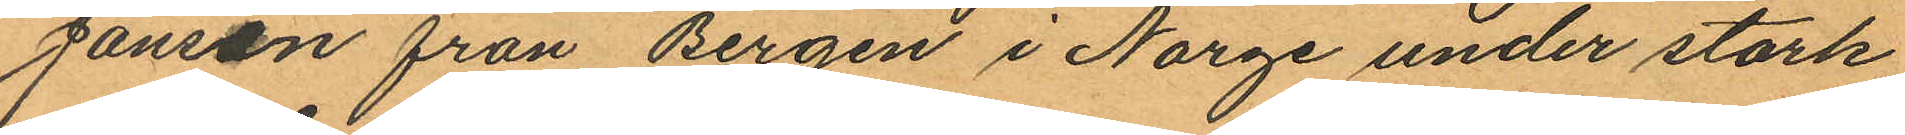Jansen från Bergen i Norge under stark
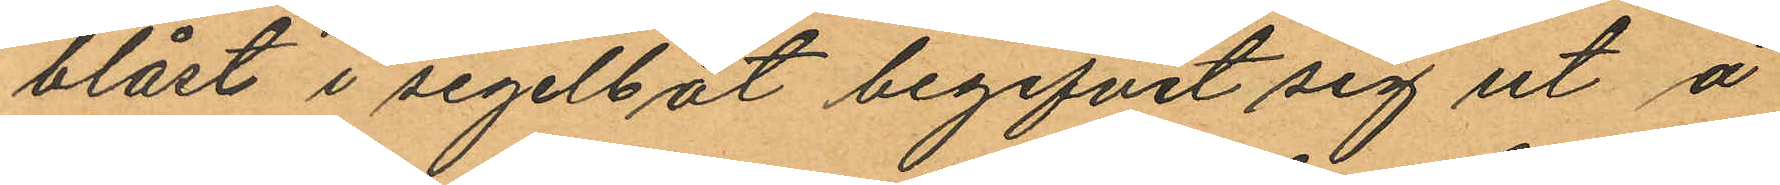blåst i segelbåt begifvit sig ut å
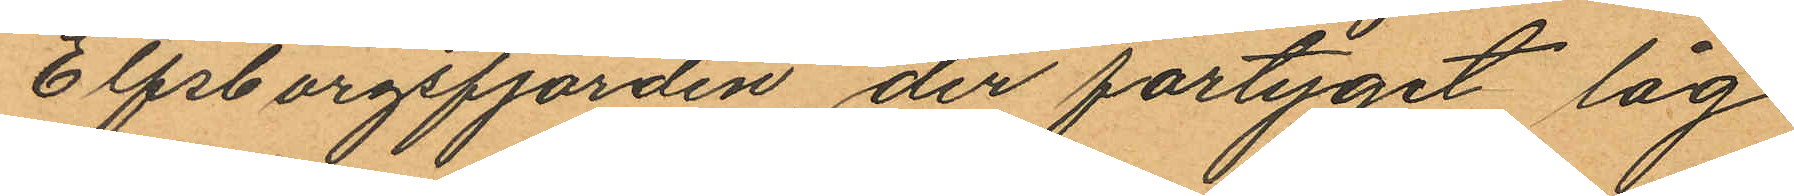Elfsborgsfjorden, der fartyget låg
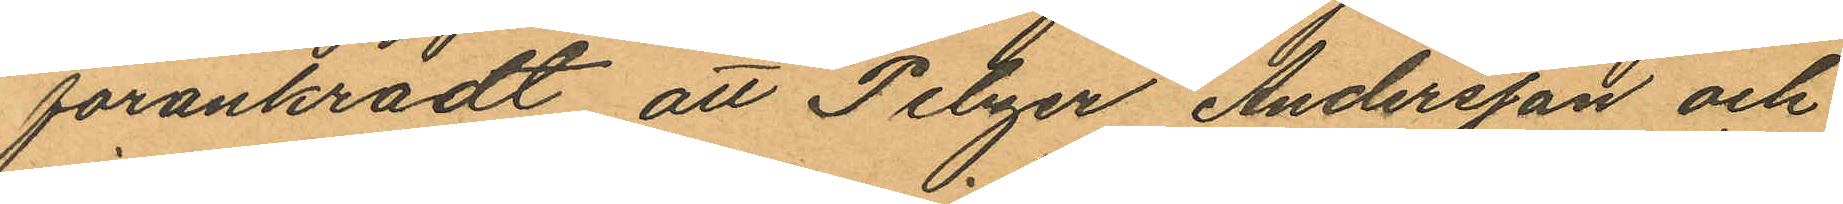förankradt att Pelzer Andersson och
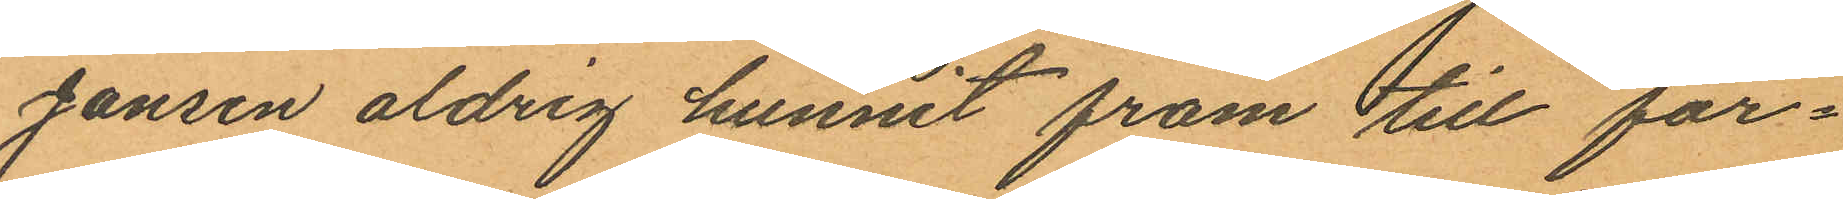Jansen aldrig hunnit fram till far¬
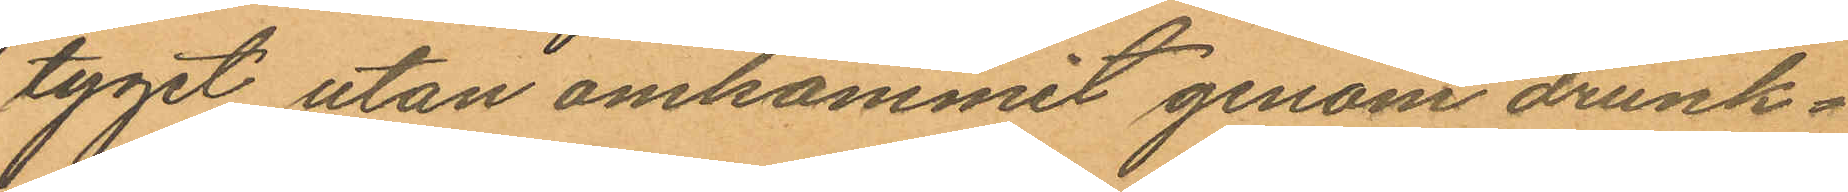tyget utan omkommit genom drunk¬
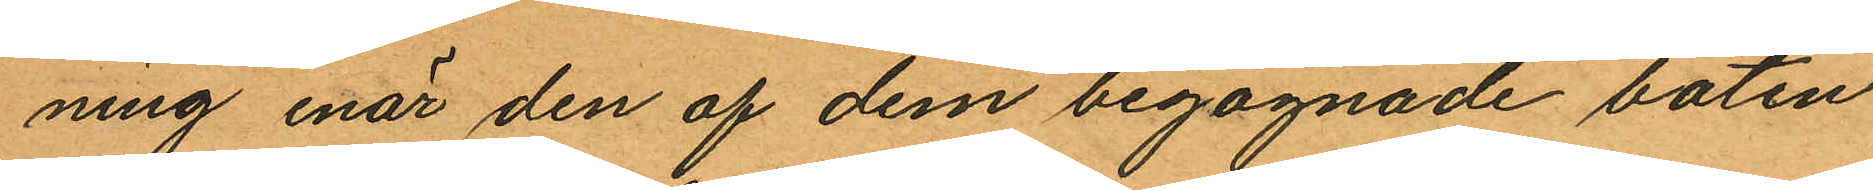ning enär den af dem begagnade båten
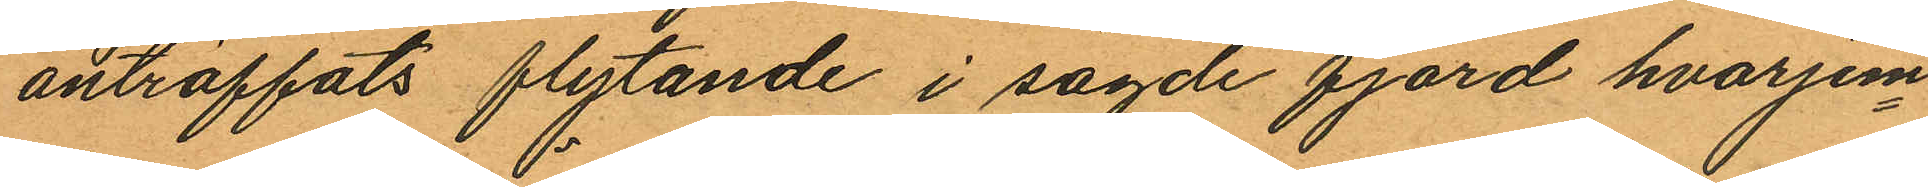anträffats flytande i sagde fjord hvarjem¬
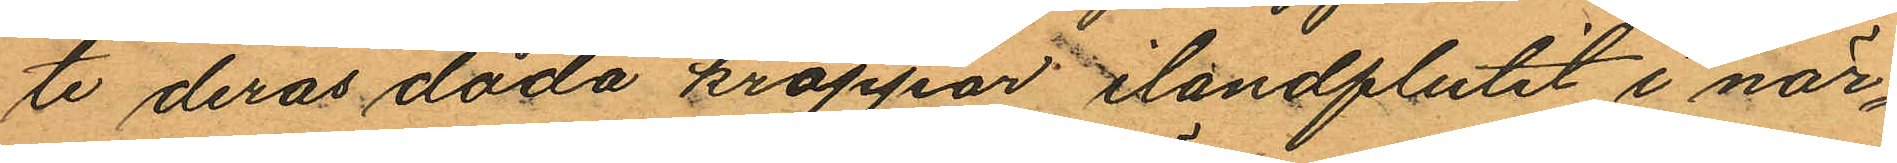te deras döda kroppar ilandflutit i när¬
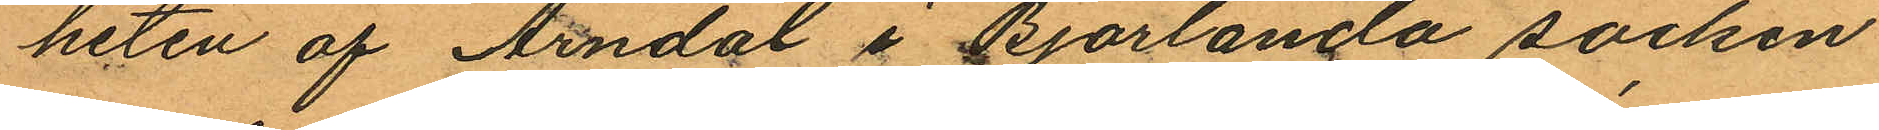heten af Arndal i Björlanda socken
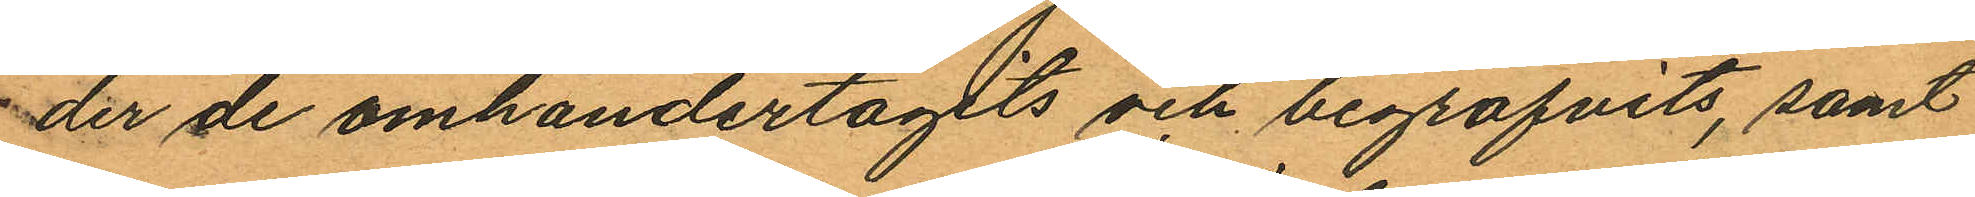der de omhändertagits och begrafvits, samt
